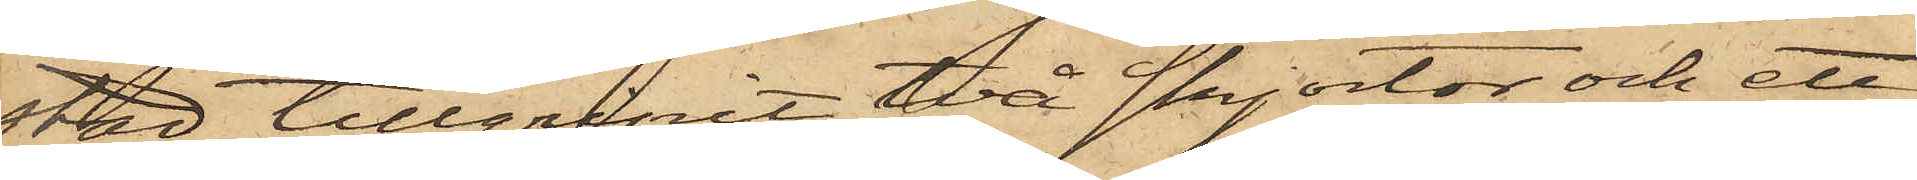stad tillgripit två skjortor och ett
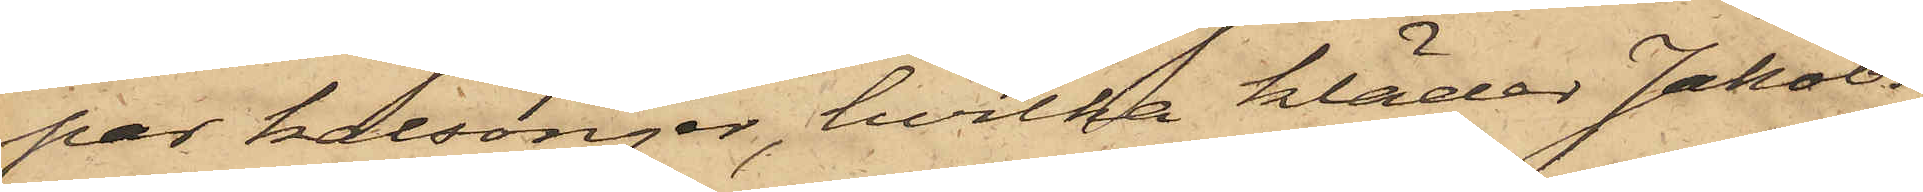par kalsonger, hvilka kläder Jakobs¬
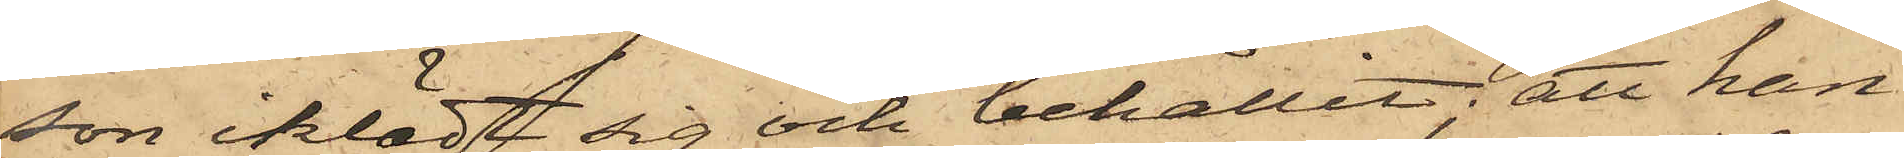son iklädt sig och behållit; att han
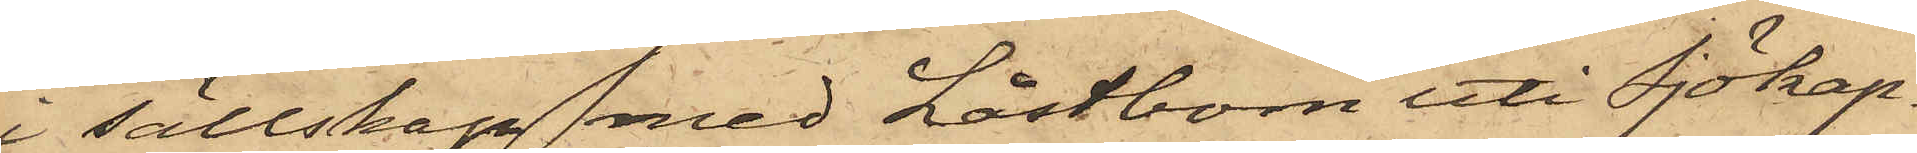i sällskap med Låstbom uti Sjökap¬
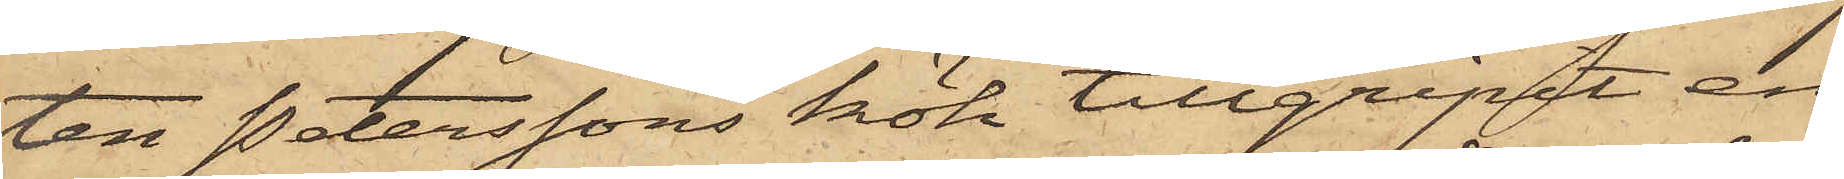ten Peterssons kök tillgripit en
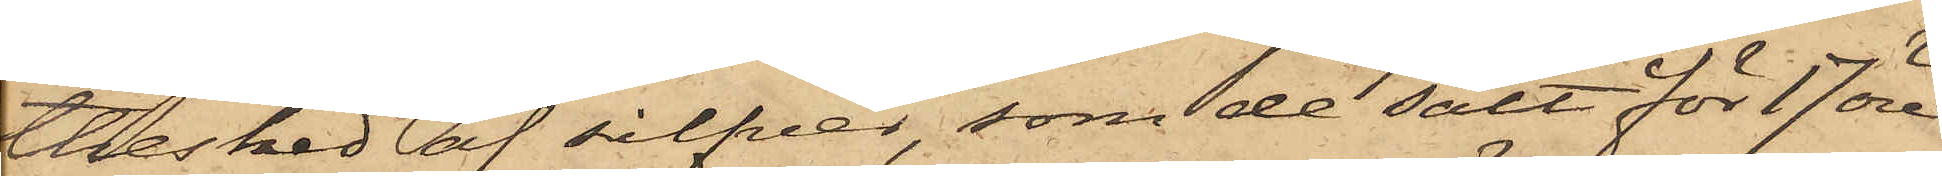thesked af silfver, som de sålt för 17 öre
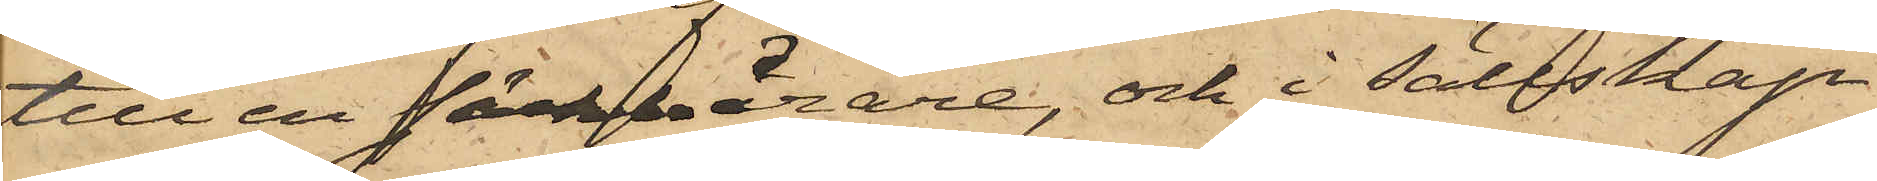till en säckbärare, och i Sällskap
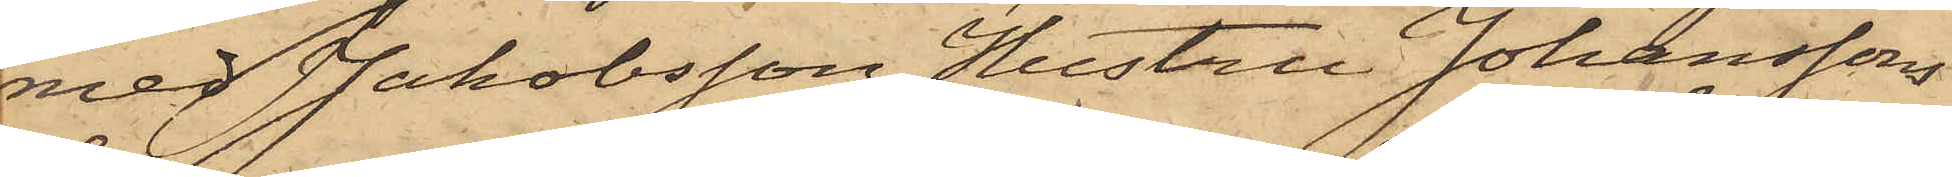med Jakobsson Hustru Johanssons
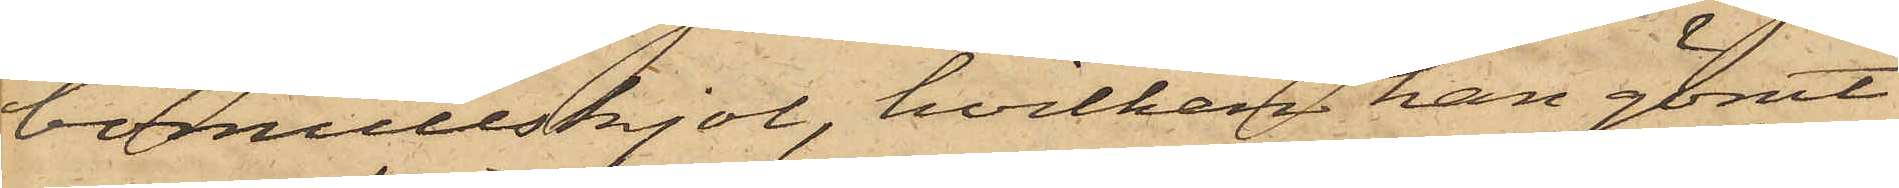bomullskjol, hvilken han gömt
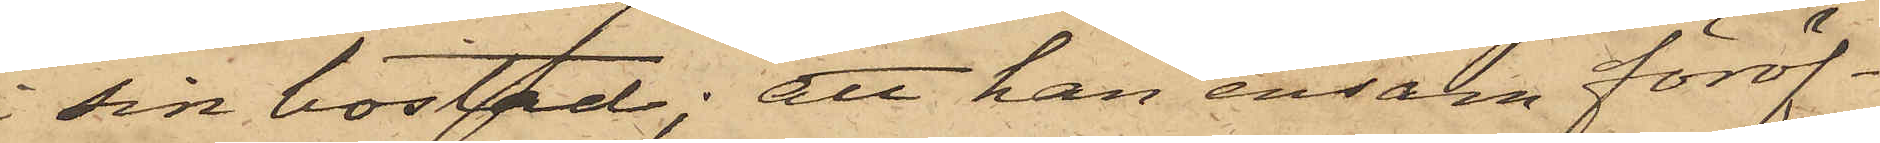sin bostad; att han ensam föröf¬
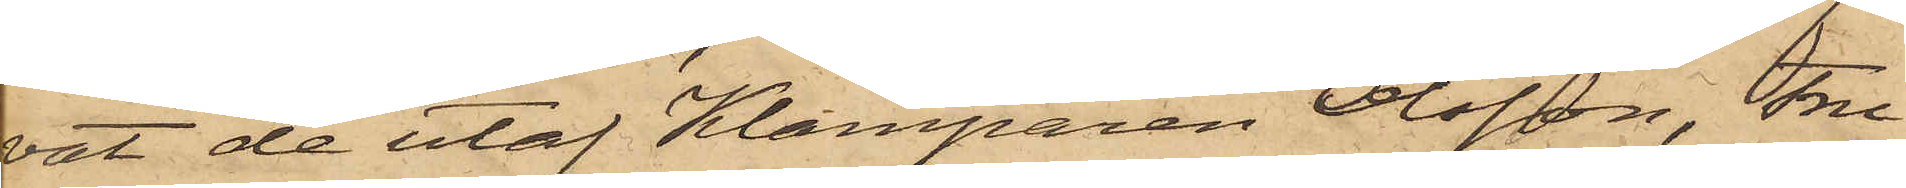vat de utaf Klamparen Olsson, Fru
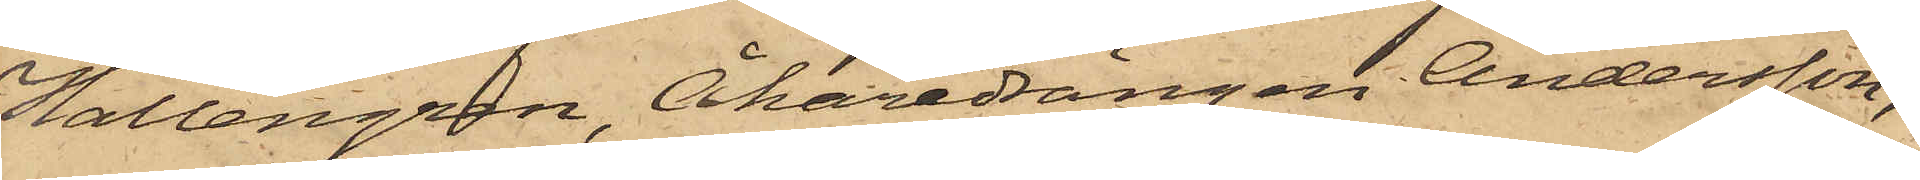Hallengren, Åkaredrängen Andersson,
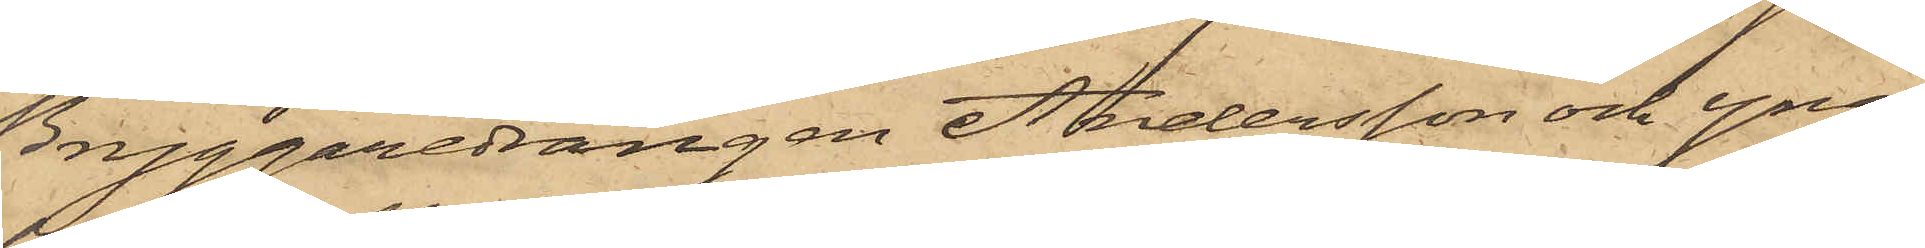Bryggaredrängen Andersson och yng¬
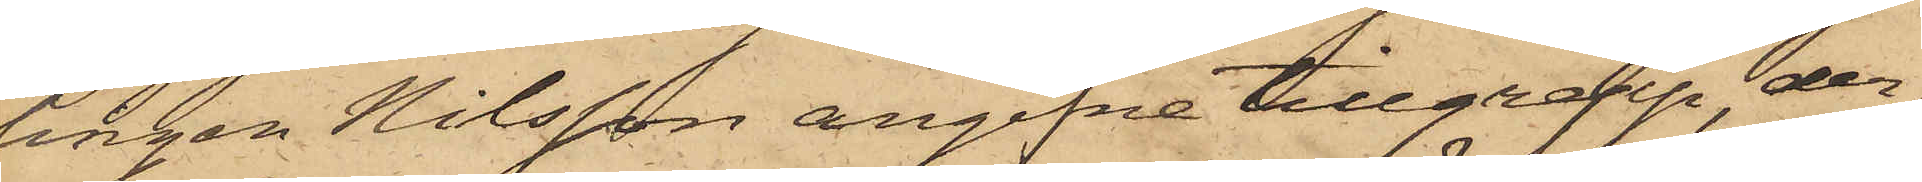lingen Nilsson angifne tillgrepp, der¬
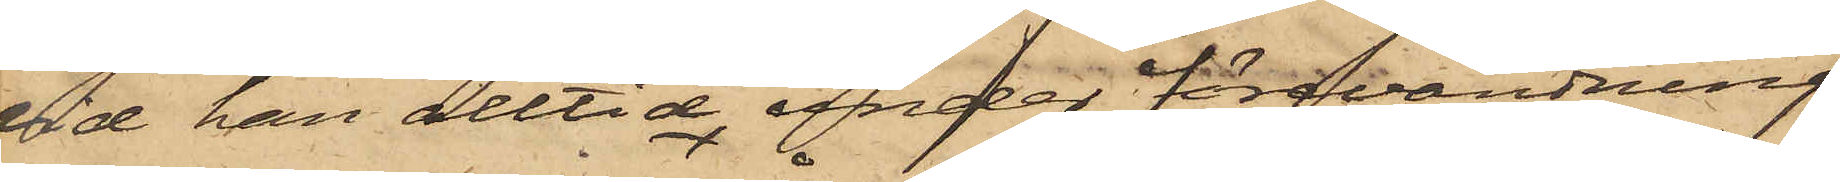vid han alltid under förevändning
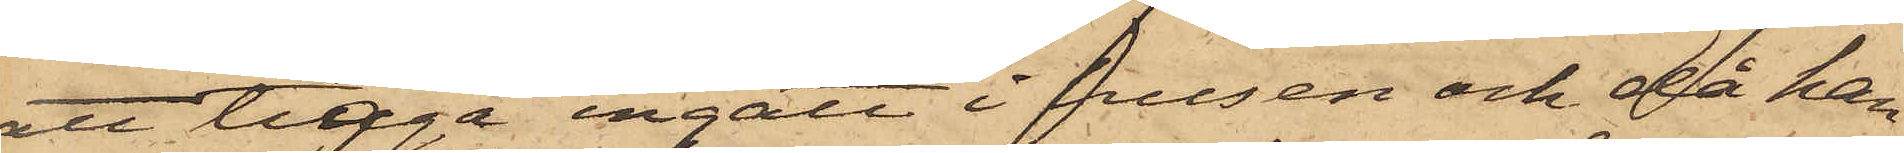att tigga ingått i husen och då han
